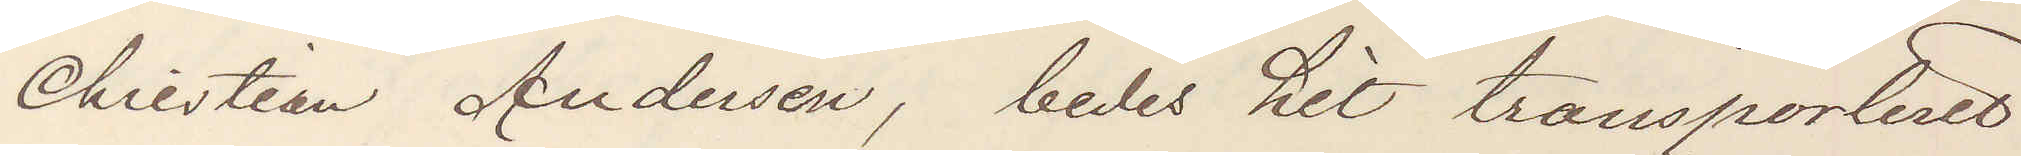Christian Andersen, bedes hit transporteret
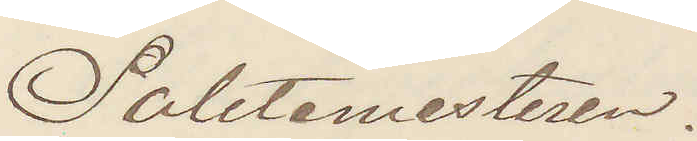Politimesteren.
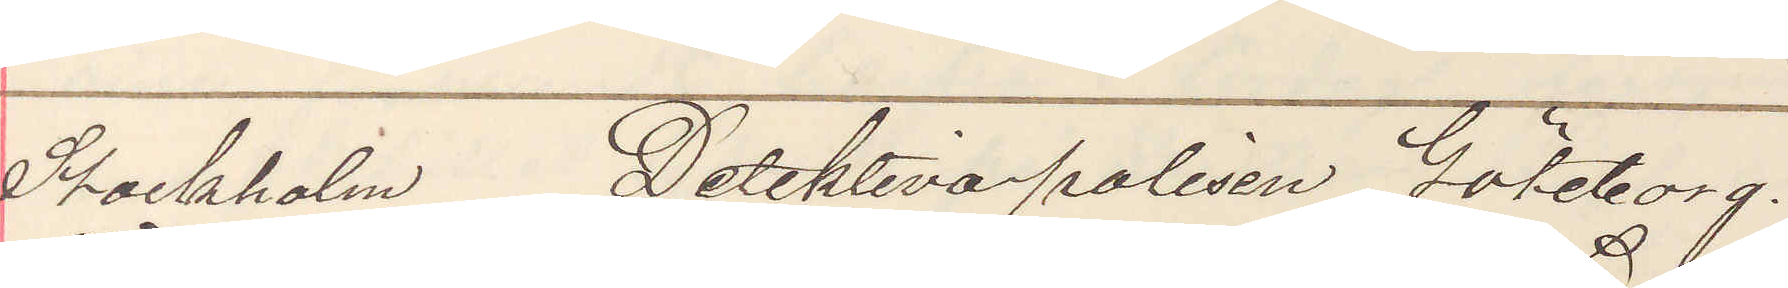Stockholm Detektiva polisen Göteborg.
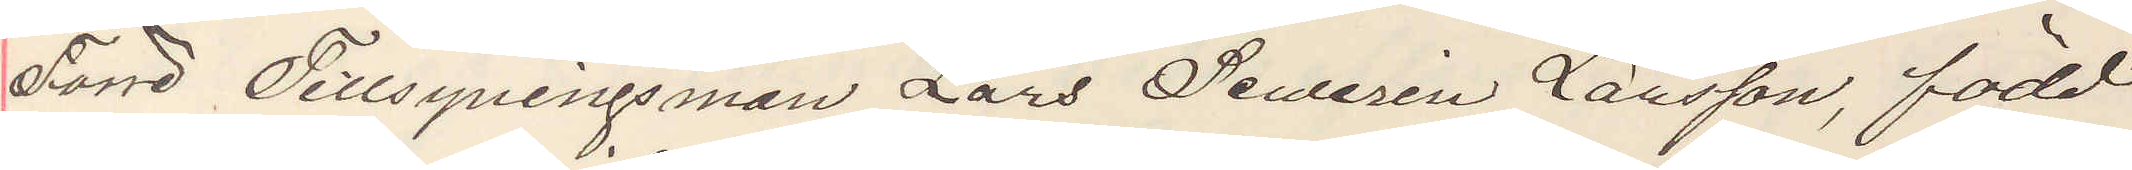Förre Tillsyningsman Lars Sewerin Larssonl född
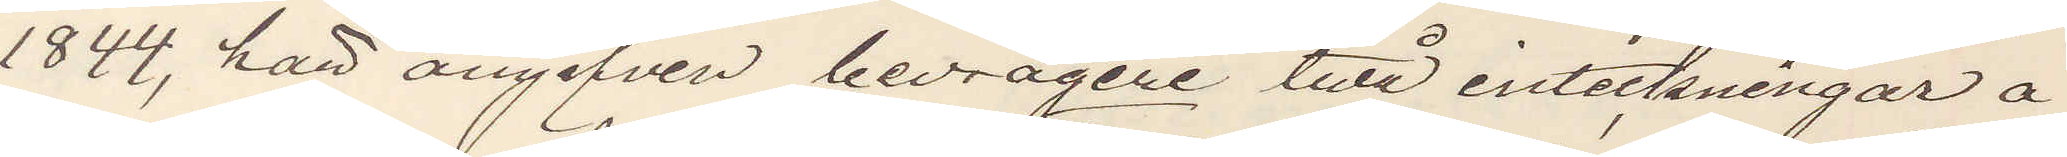1844, här angifven bedrägeri till inteckningar å
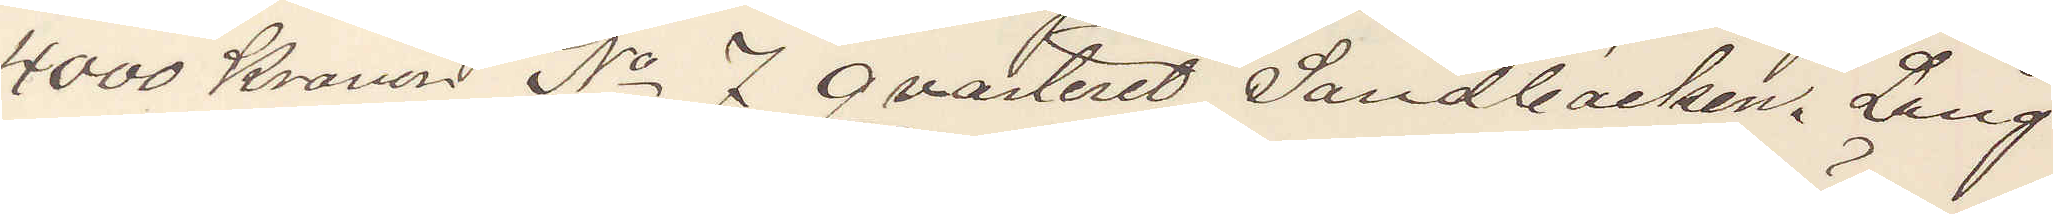4000 Kronor No 7 qvarteret Sandbacken. Lång
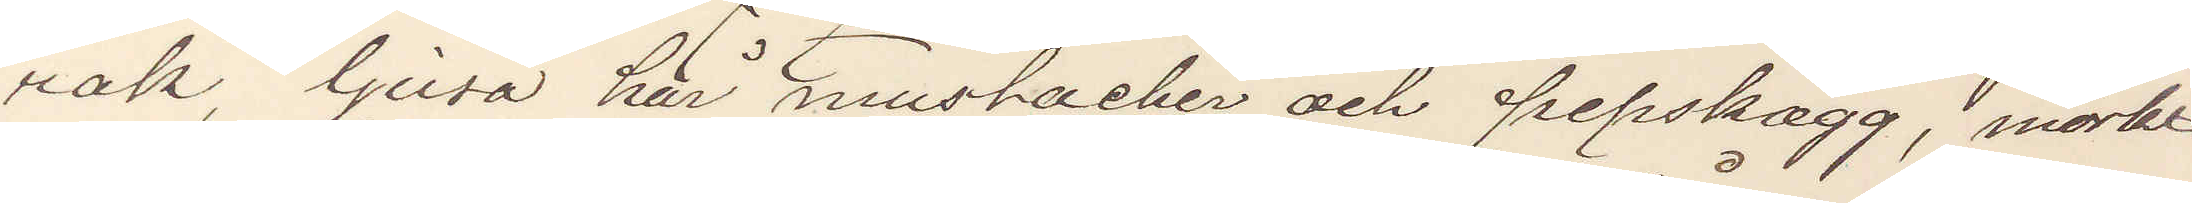rak, ljusa hår mustacher och pipskägg, mörkt
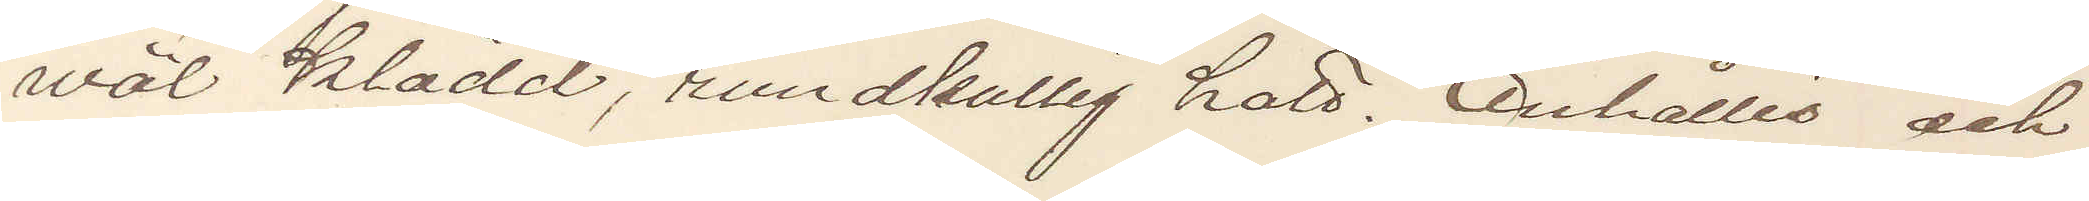wäl klädd, rundkullig hatt. Anhålles och
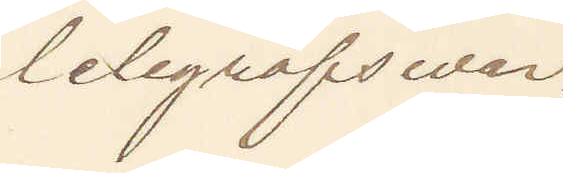telegrafswar.
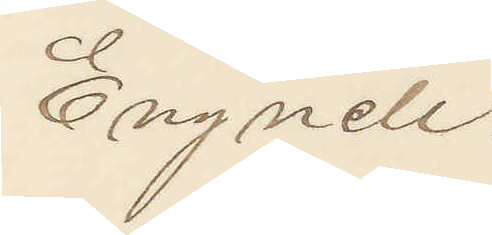Engnell.
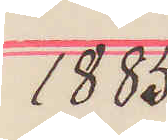1885
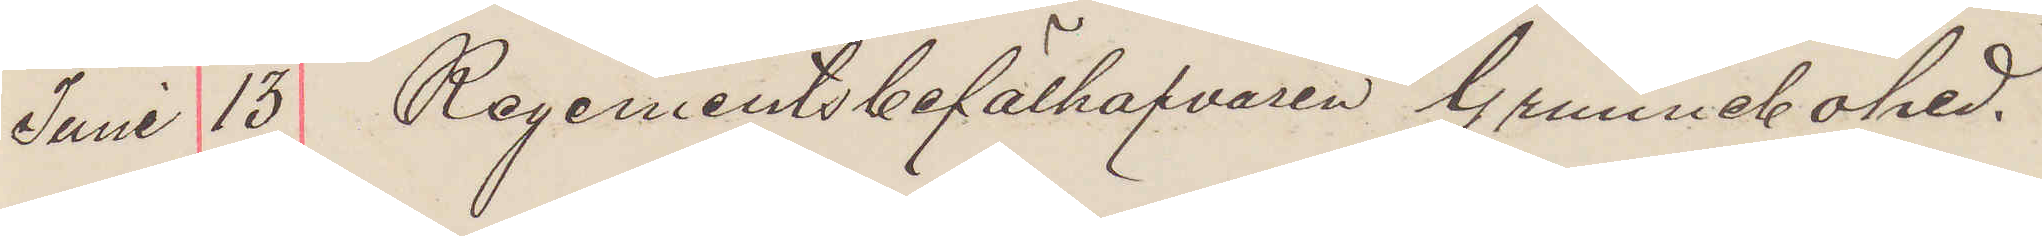Juni 13 Regementsbefälhafvaren Grunnebohed.
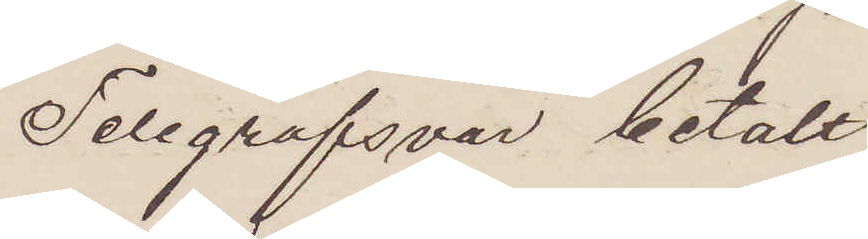Telegrafsvar betalt.
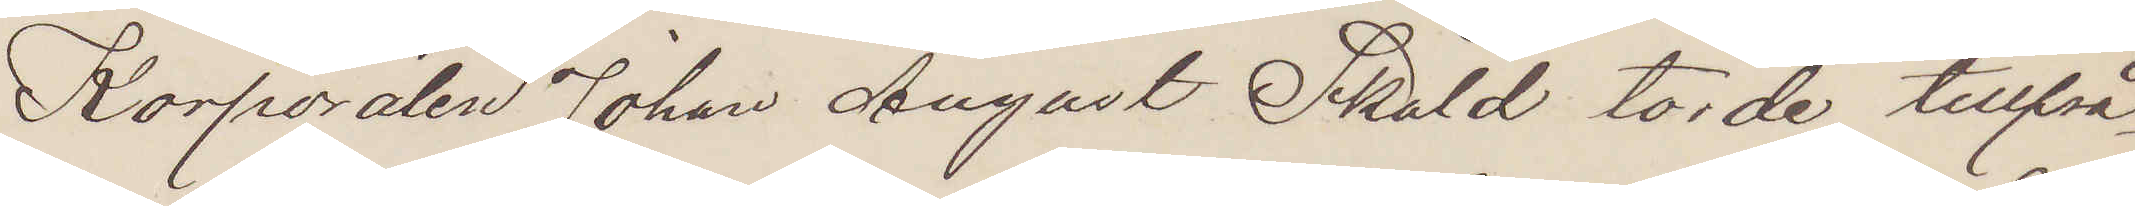Korporalen Johan August Sköld torde tillfrå¬
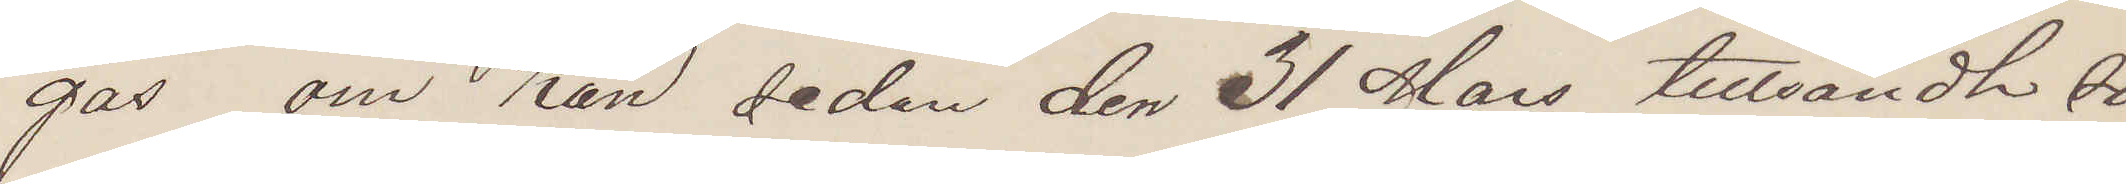gas om han sedan den 31 Mars tillsändt so¬
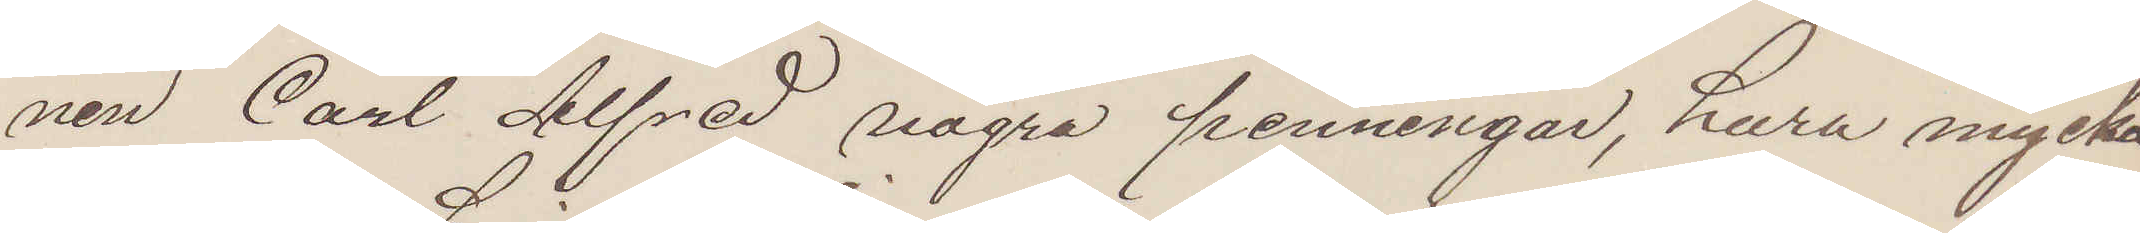nen Carl Alfred några penningar, huru mycket
